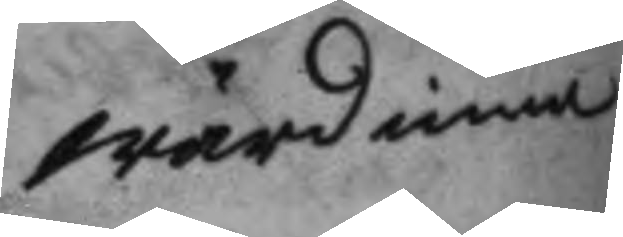wärdinna
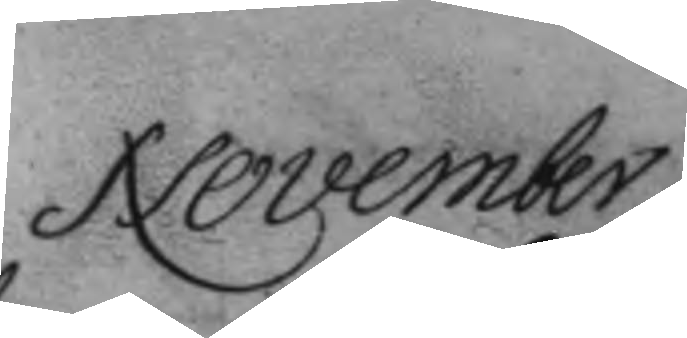November
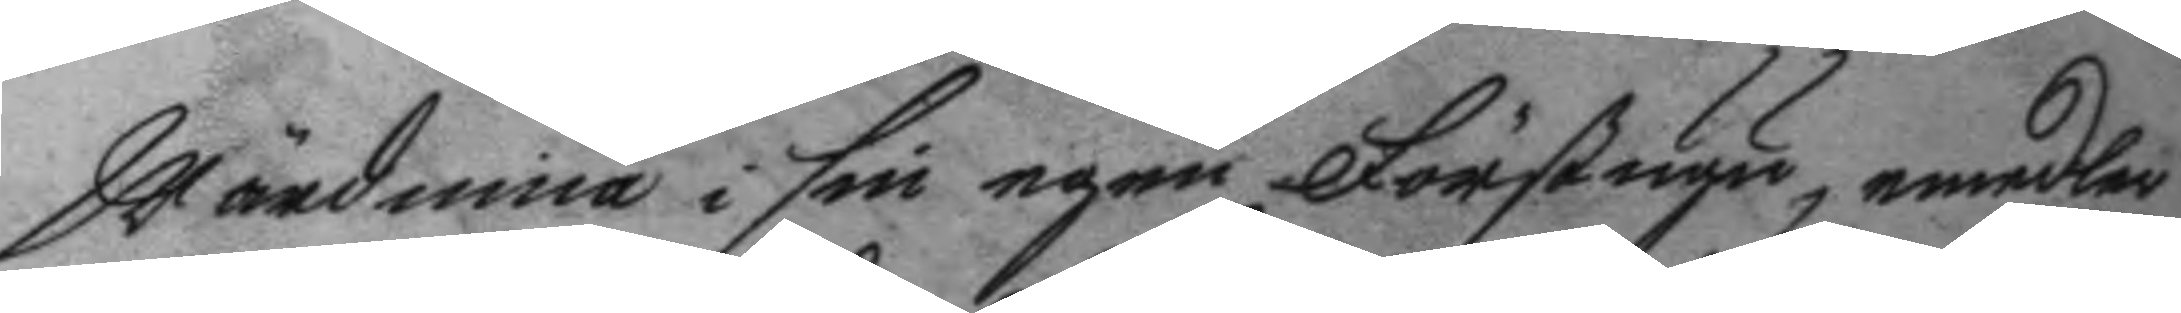wärdinna i sin egen Förstugu, emedler¬
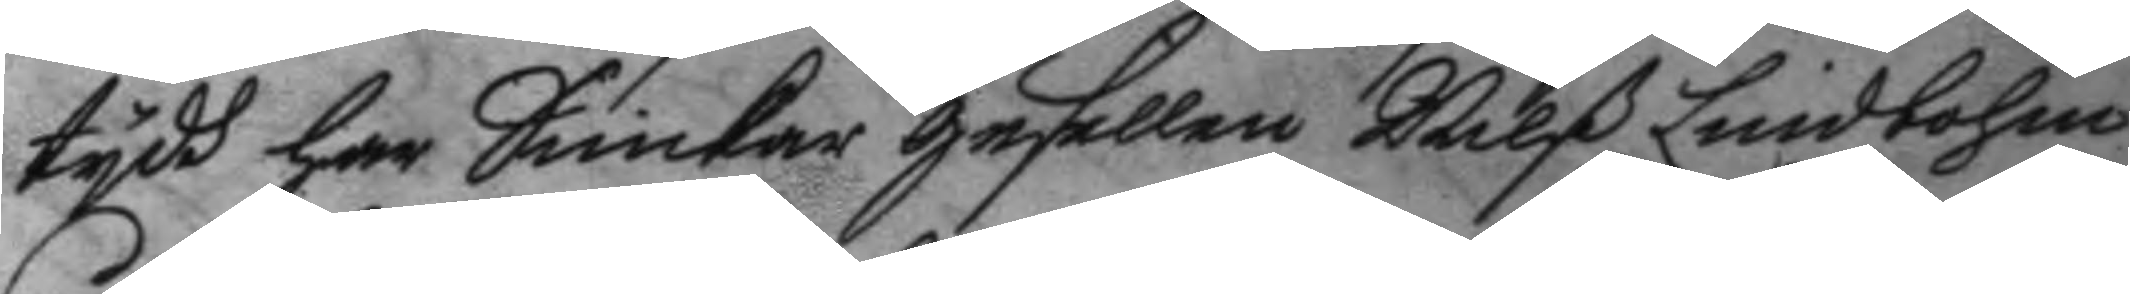tydh har Snickar gesellen Nilß Lindholm
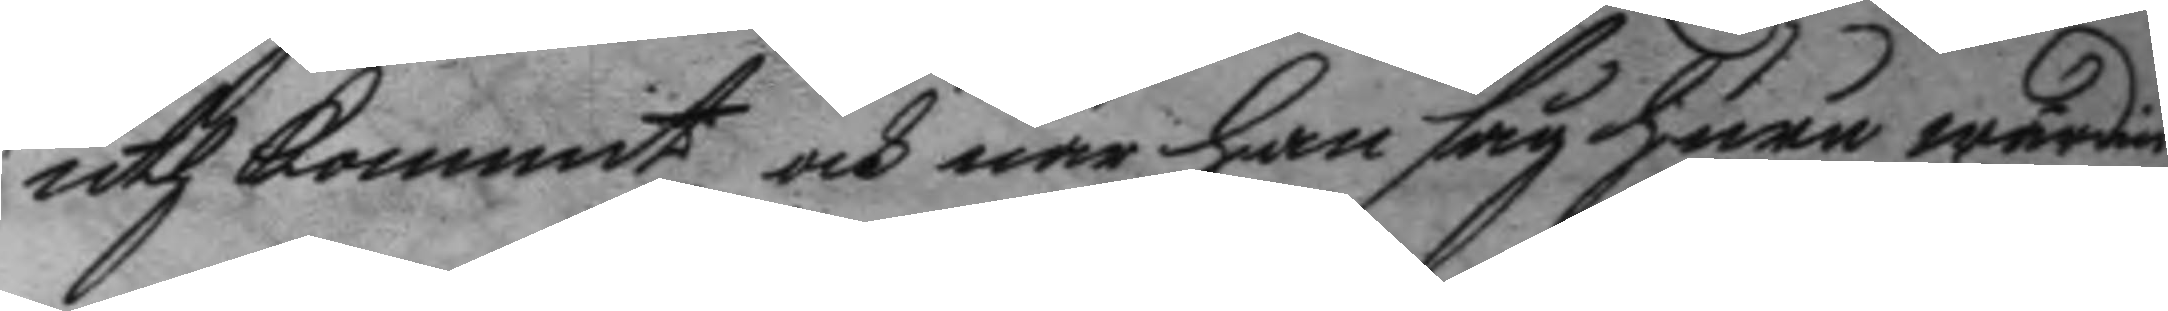uth kommit och när han såg huru wärdin¬
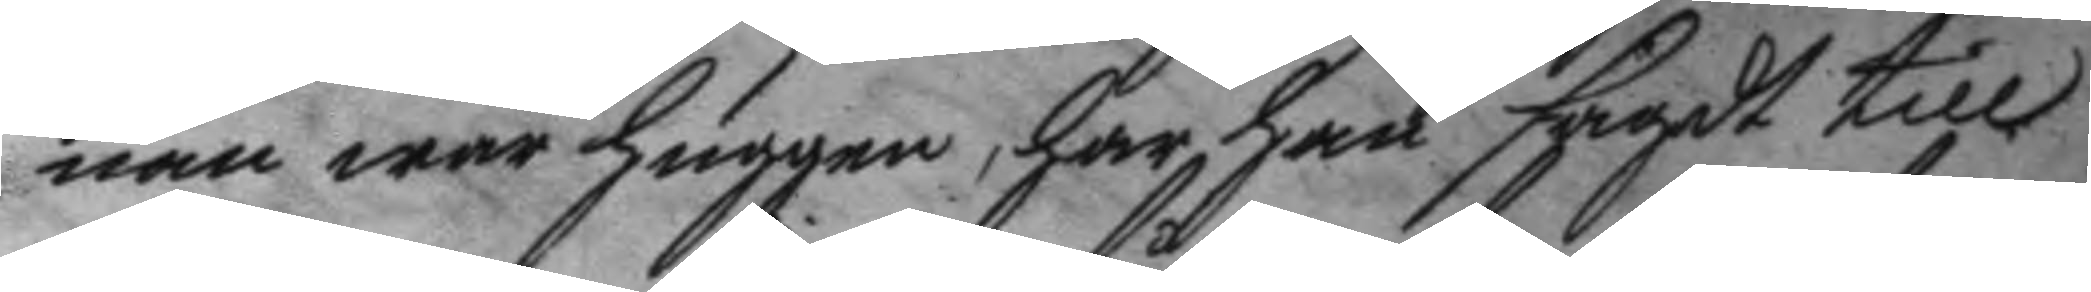nan war huggen, har han sagdt till
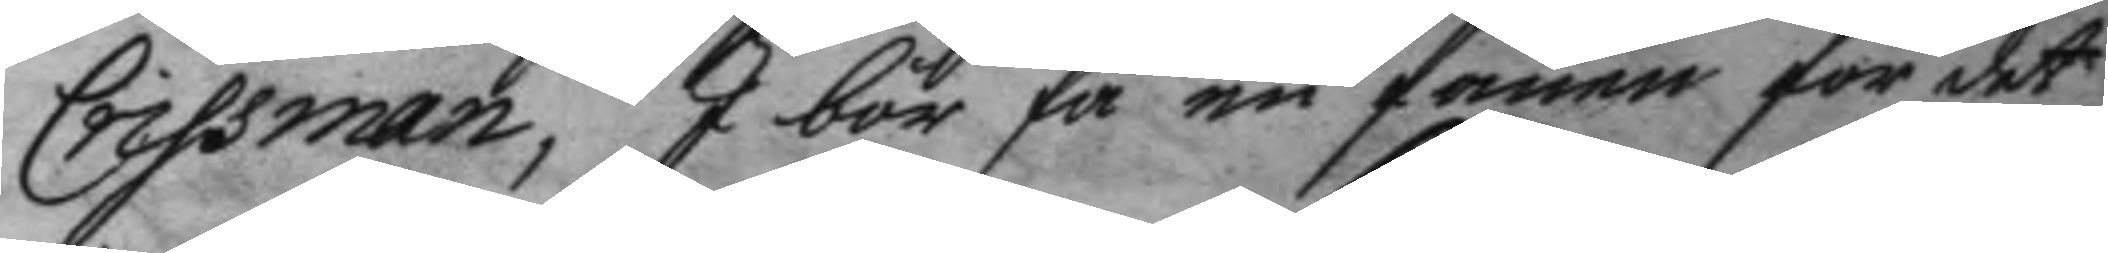Crissman, I bör få en fanen för det
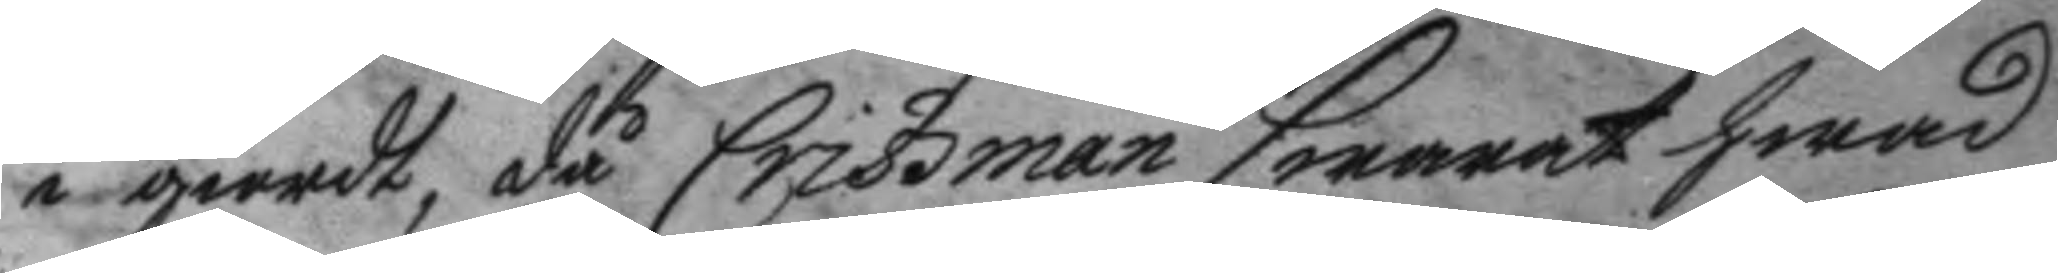i giordt, då Crissman swarat hwad
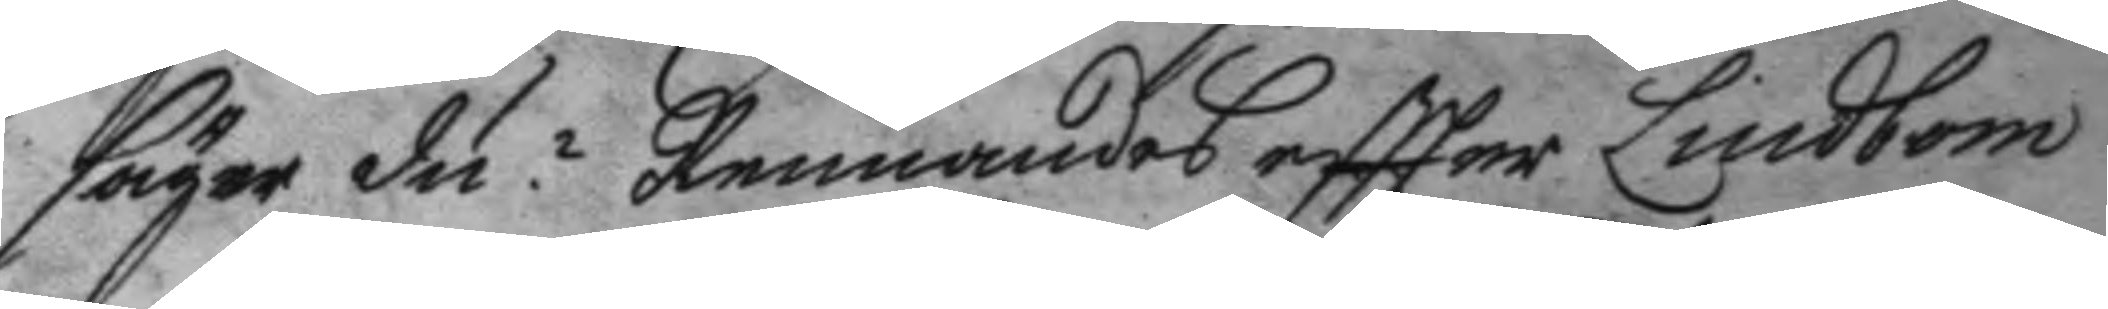säger du? Rennandes eftter Lindbom
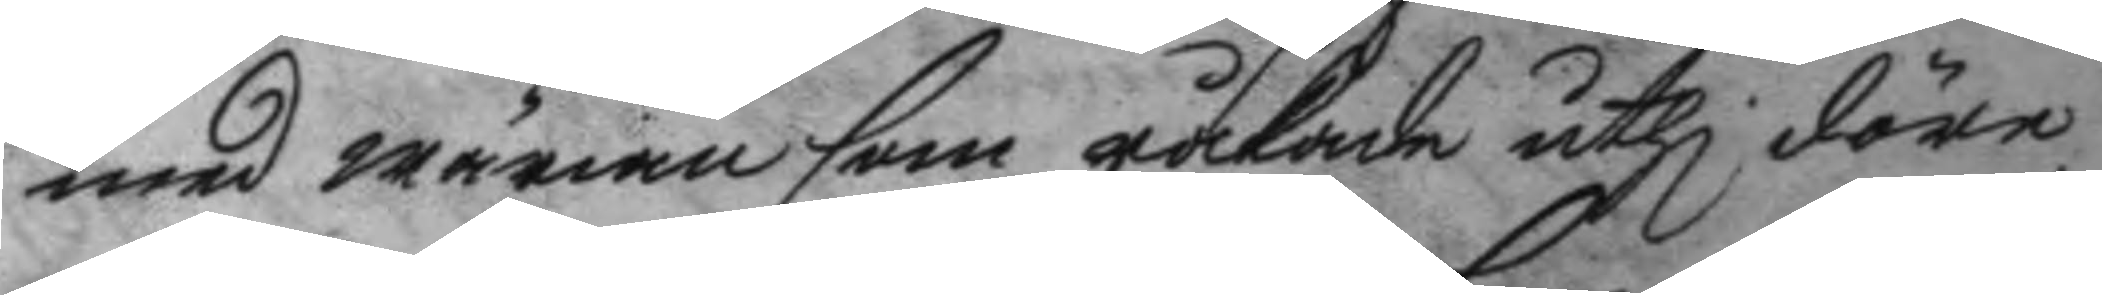med wärian som råkade uthi döre
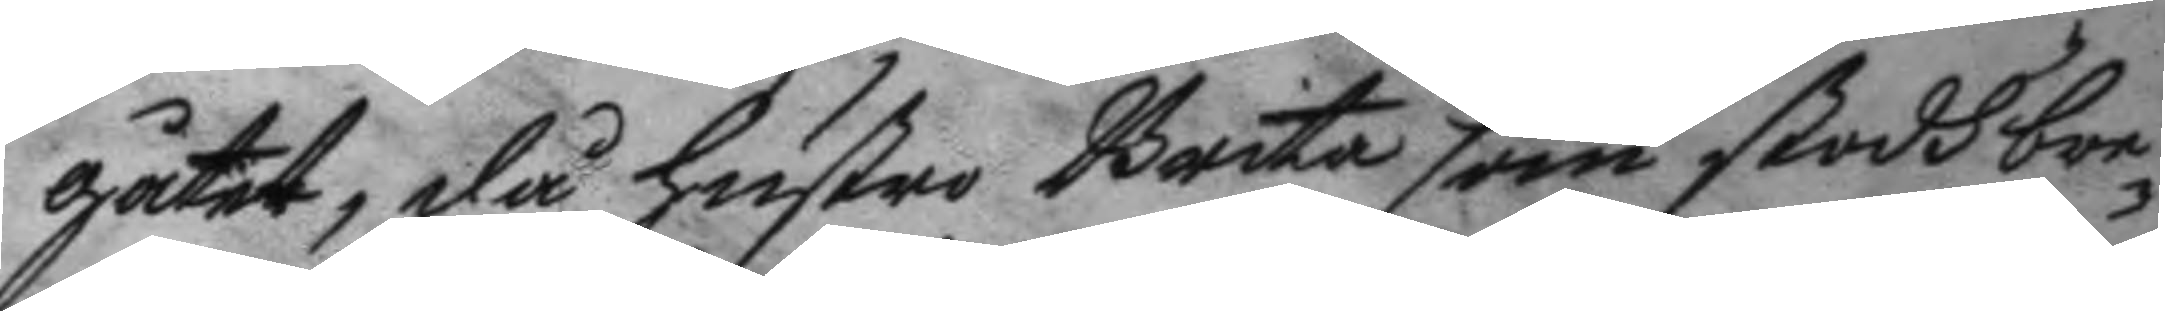gåtet, då hustru Brita som stodh bre¬
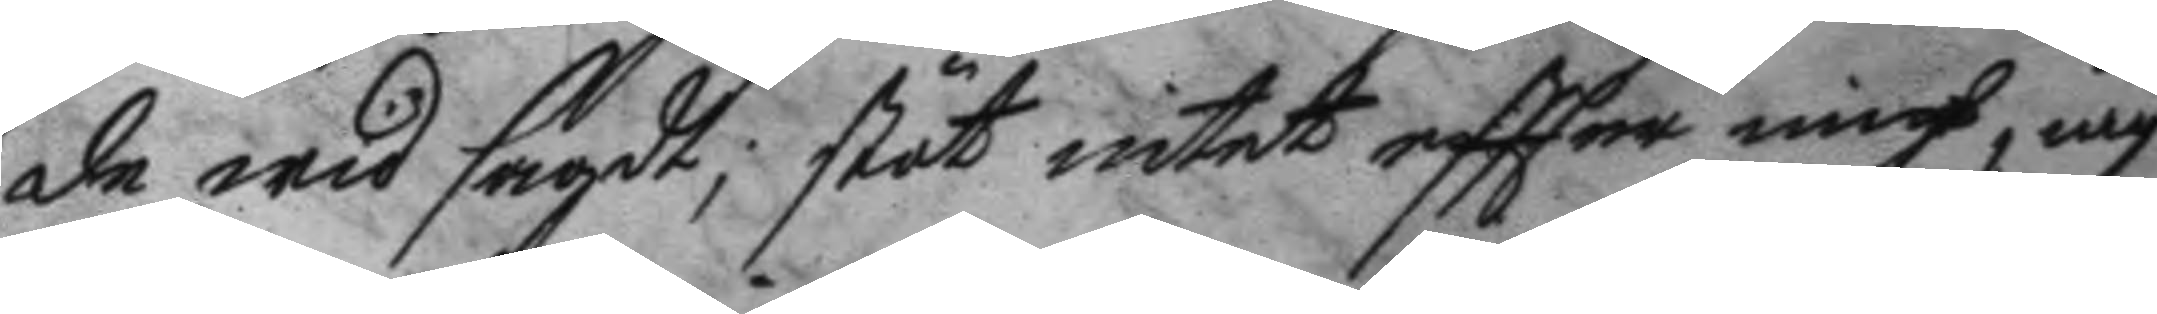de wid sagdt, stöt intet eftter migh, iag
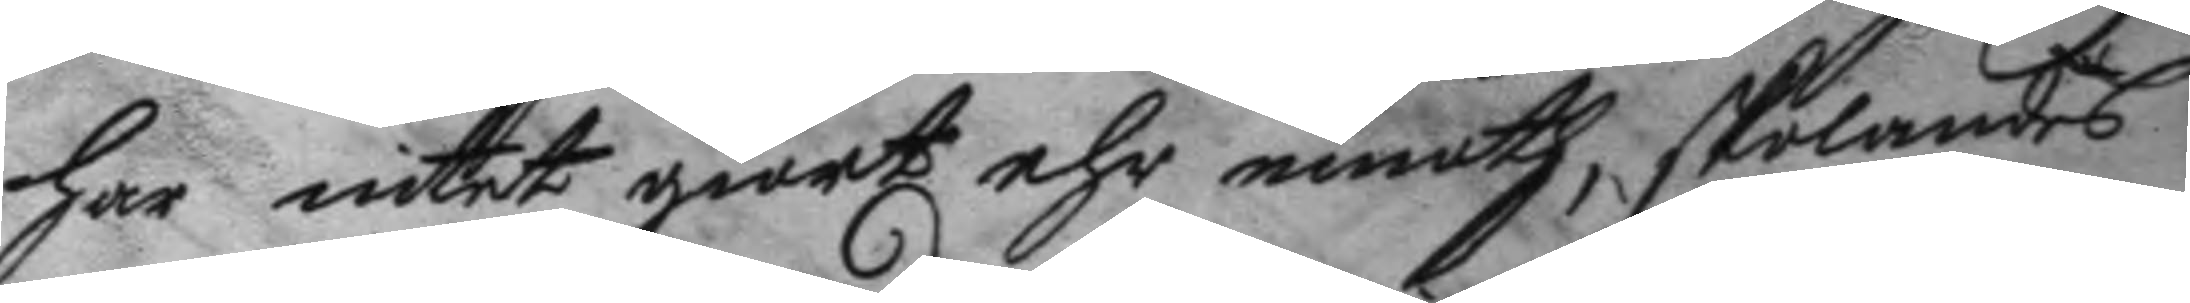har intet giordt ehr emoth, skolandes
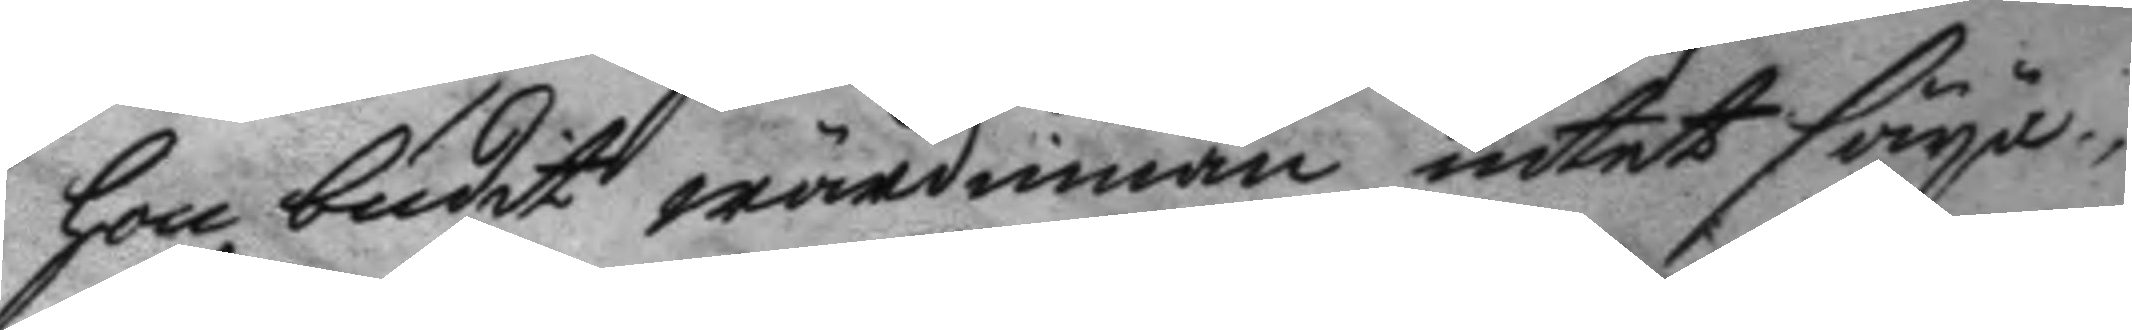hon budit wärdinnan intet säya,
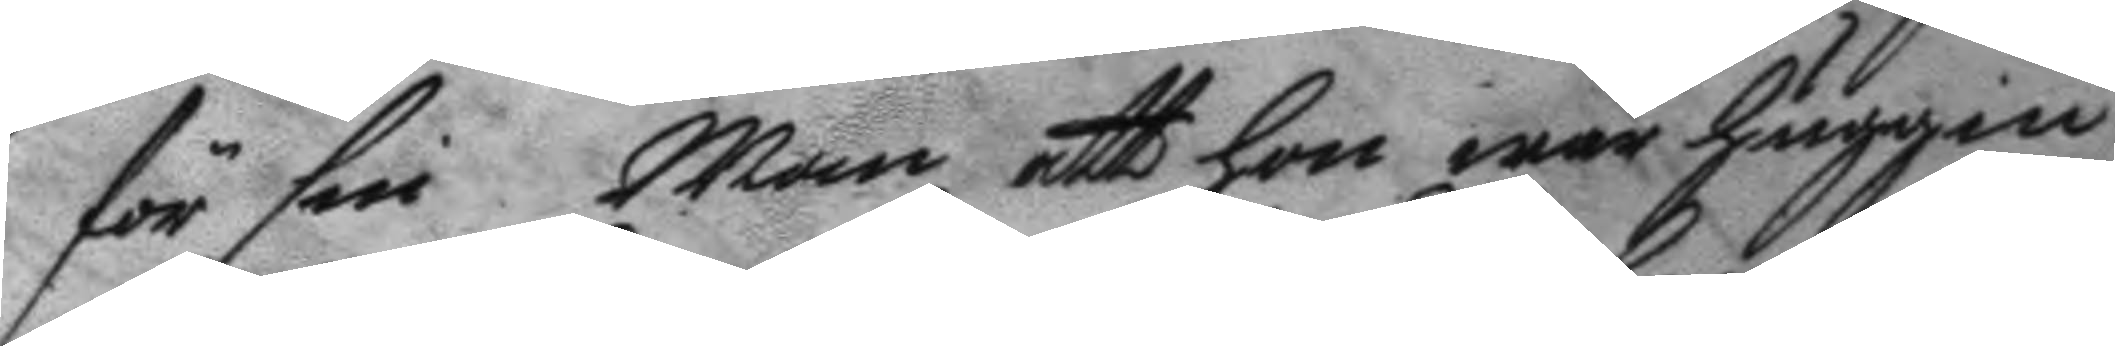för sin Man att hon war huggen
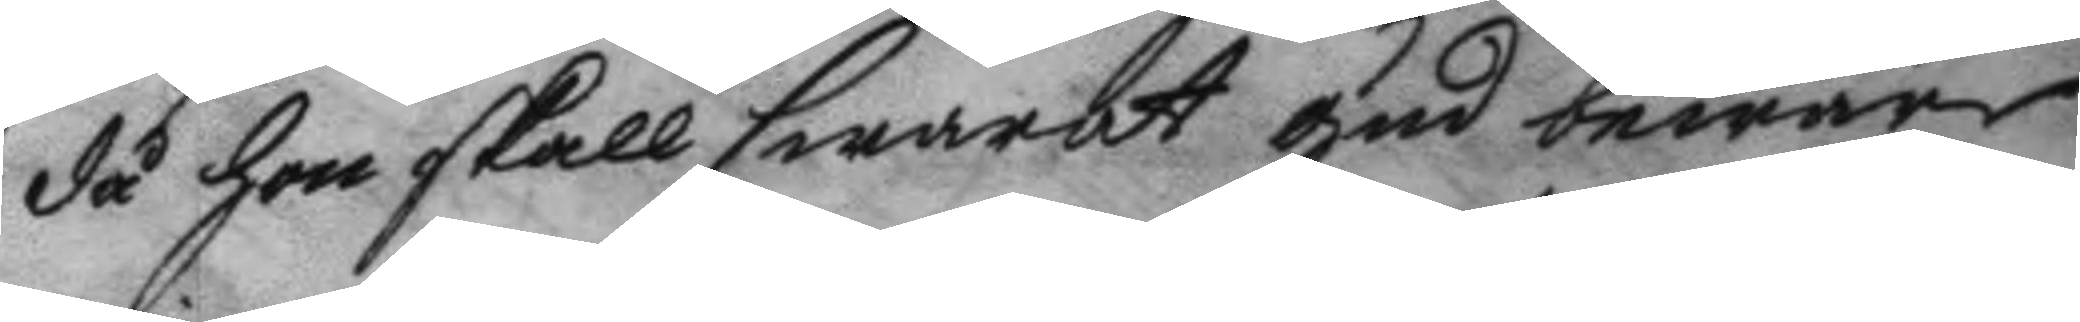då hon skall swarat gud beware
